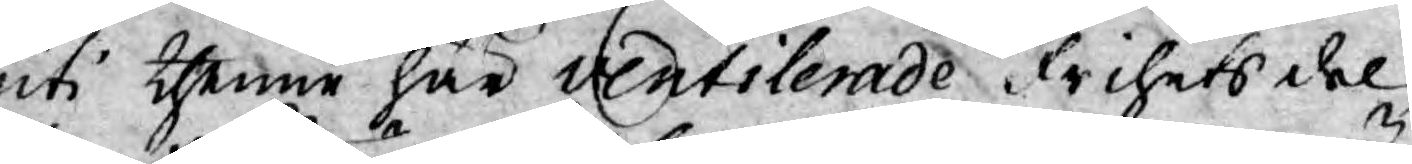uti thenne här ventilerade Frihets del,
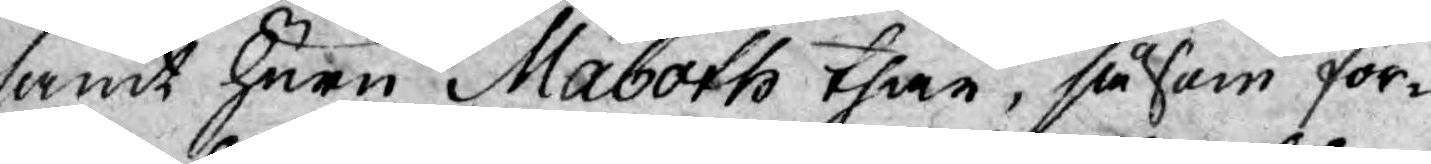samt huru Maboth thär, såsom för¬
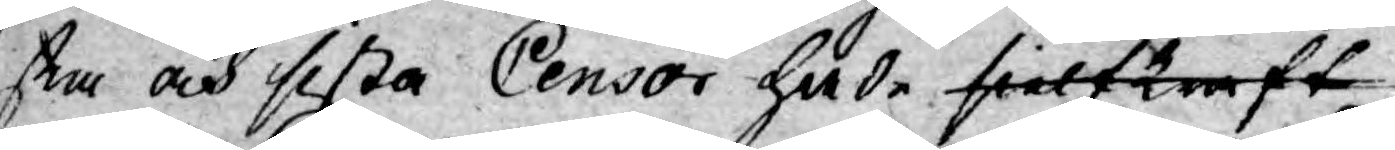sta och sista Censor hade sielfkraft
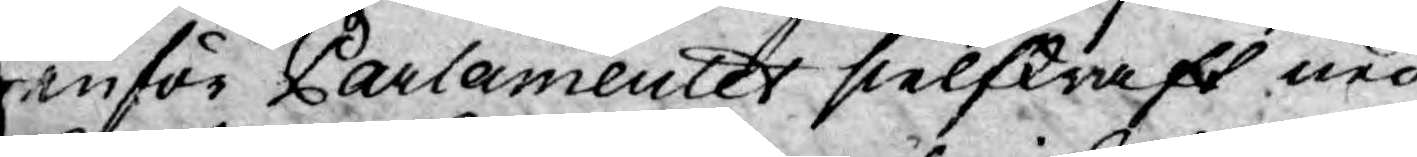inför Parlamentet sielfkraft ned¬
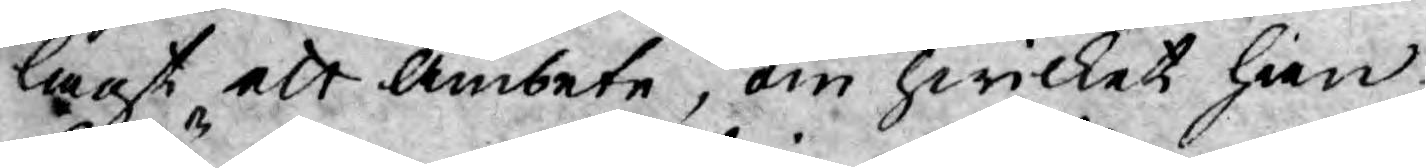lagt ett Ämbete, om hwilket han
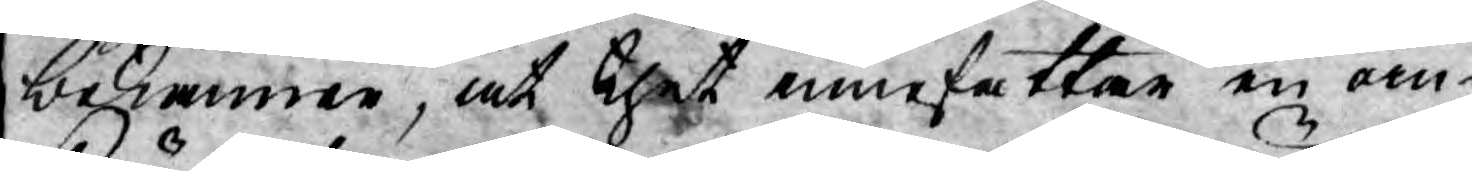bekänner, at thet innefattar en oin¬
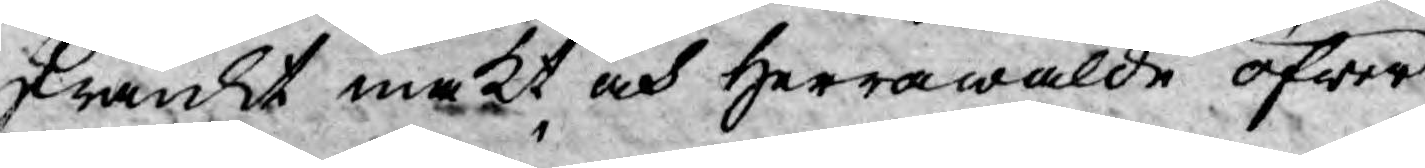skränkt makt och Herrawälde öfwer
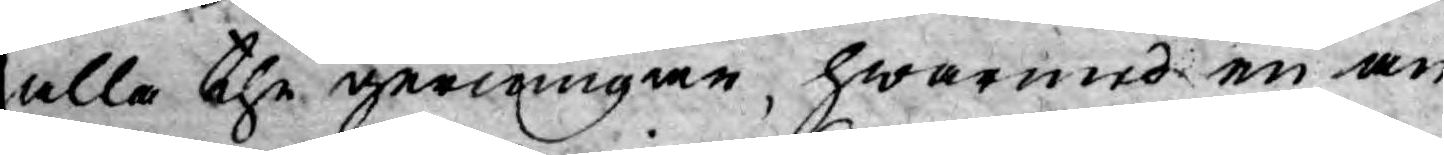alla the gerningar, hwarmed en an¬
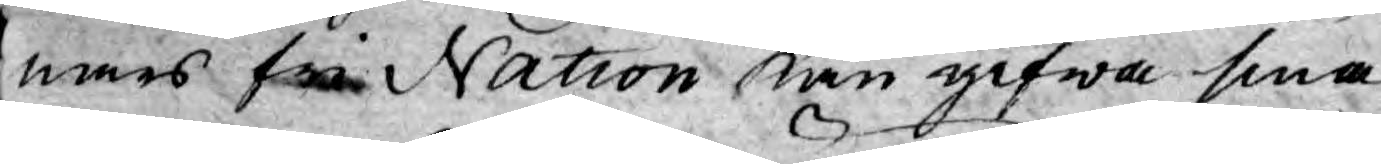nars fri Nation kan gifwa sina
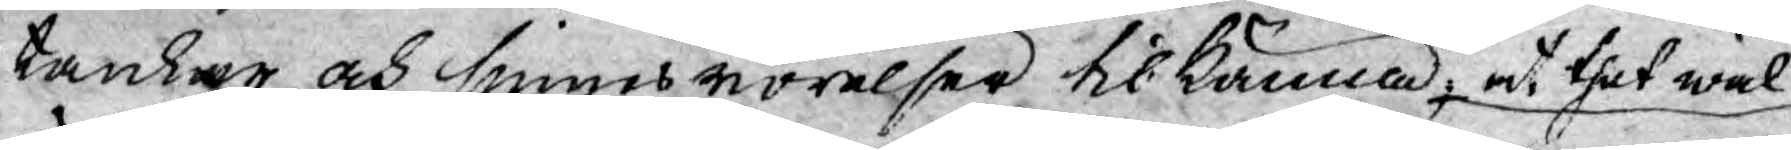tankar och sinnes rörelser tilkänna, at thet wäl
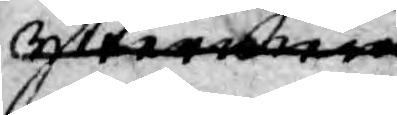yttrermera
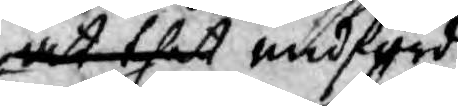at thet medförde
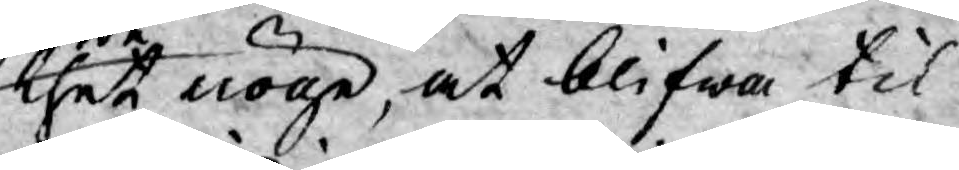thet nöge, at blifwa til¬
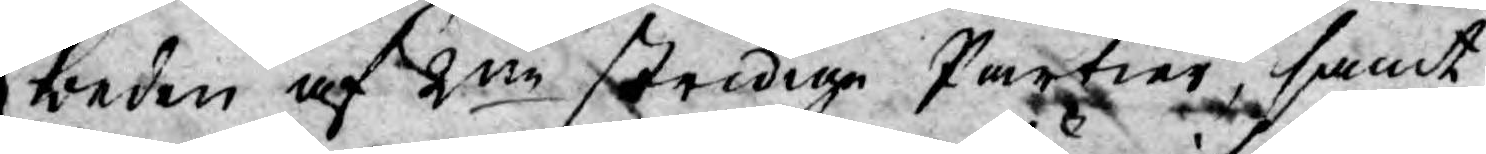beden af 2ne stridige Partier, samt
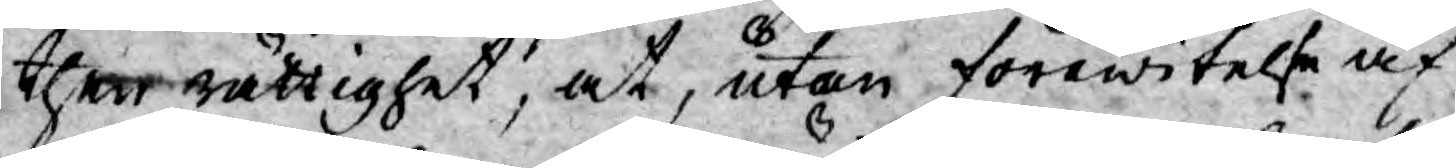ther rättighet, at, utan förewitelse af
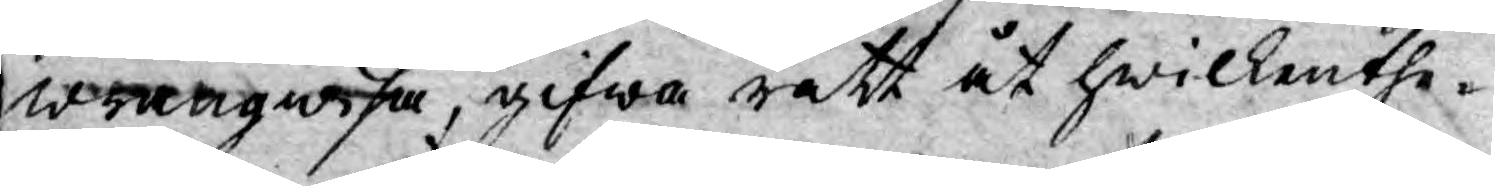wrångwisa, gifwa rätt åt hwilkenthe¬
